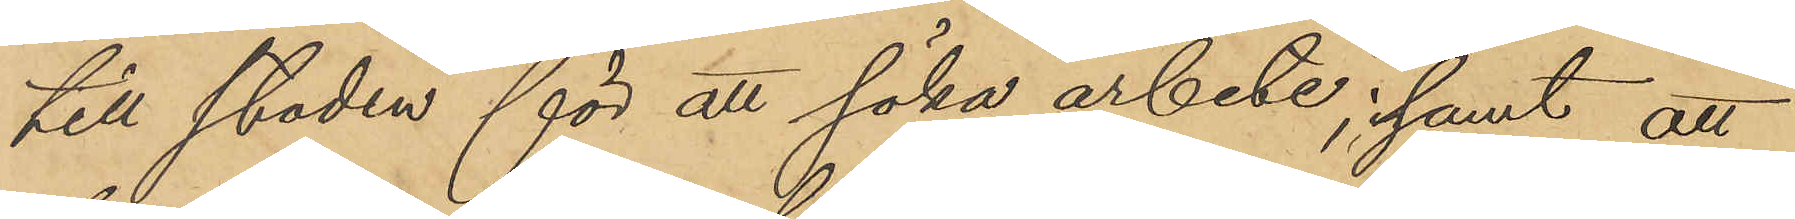till staden för att söka arbete; samt att
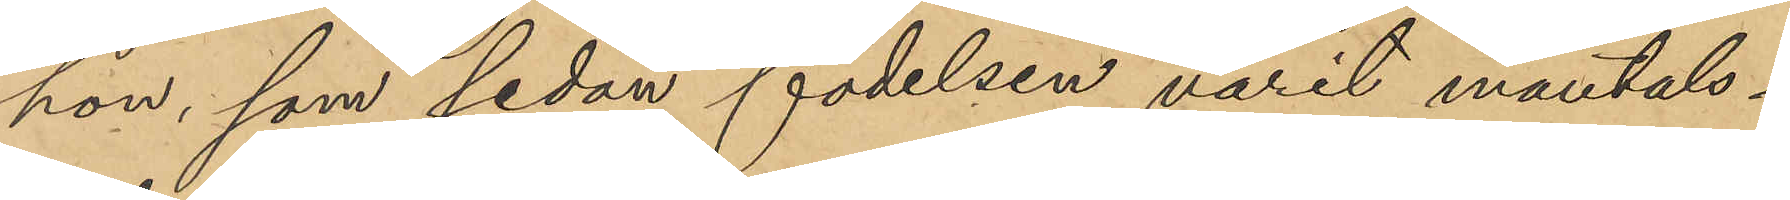han, som sedan födelsen varit mantals¬
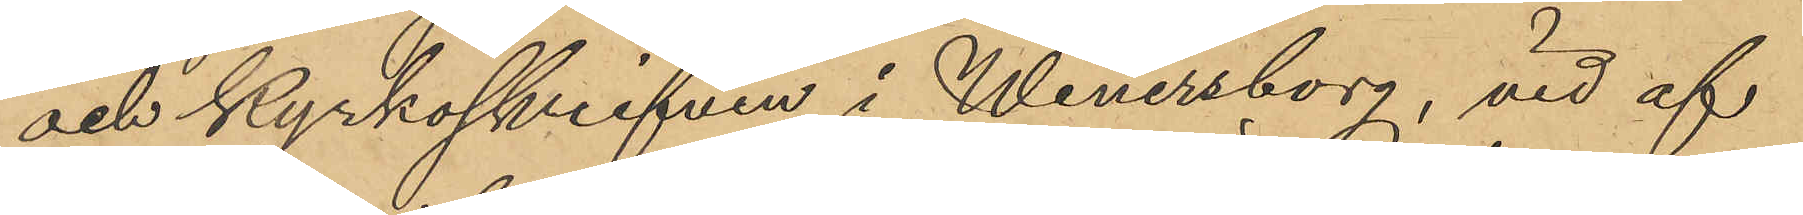och kyrkoskrifven i Wenersborg, vid af¬
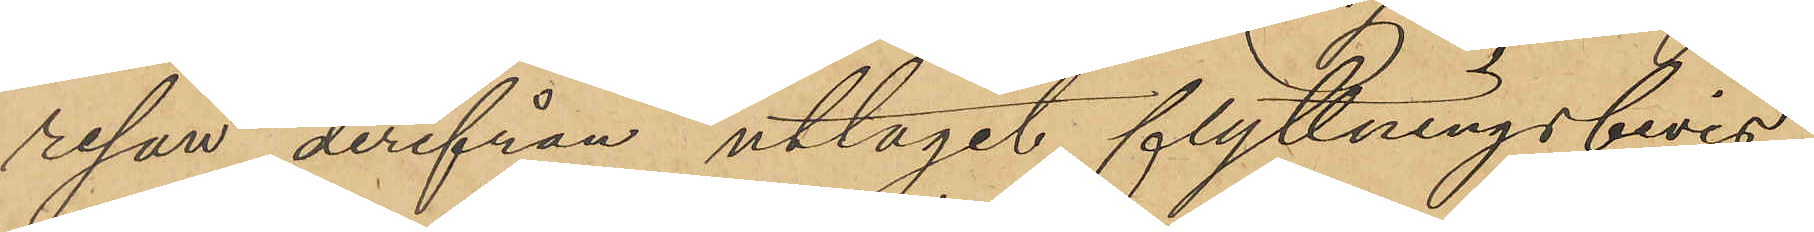resan derifrån uttagit flyttningsbevis
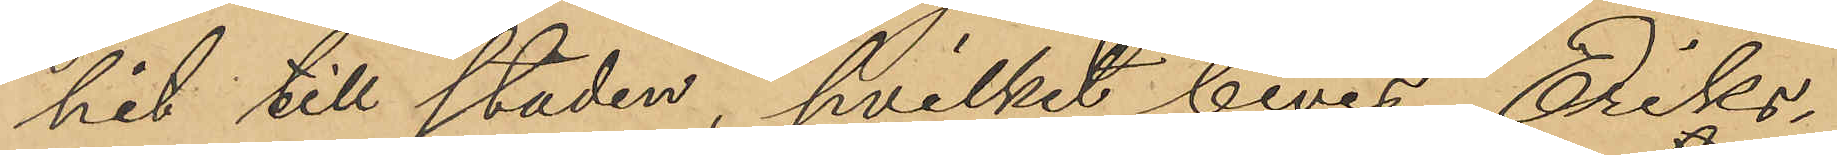hit till staden, hvilket bevis Eriks¬
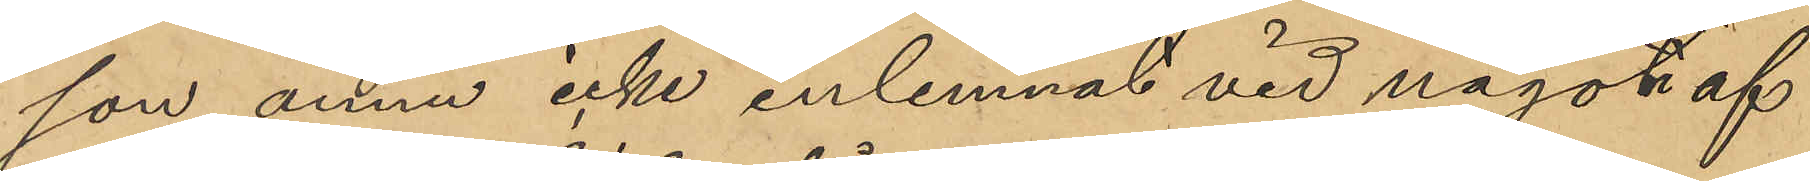son ännu icke inlemnat vid någon af
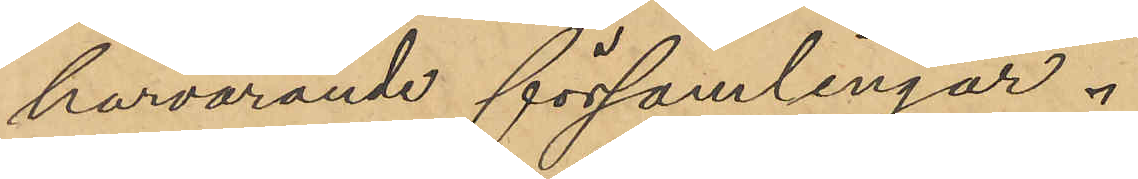härvarande församlingar.
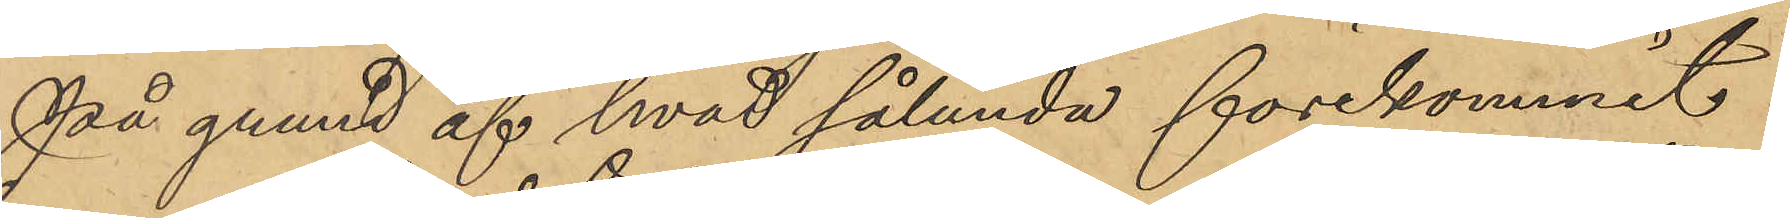På grund af hvad sålunda förekommit
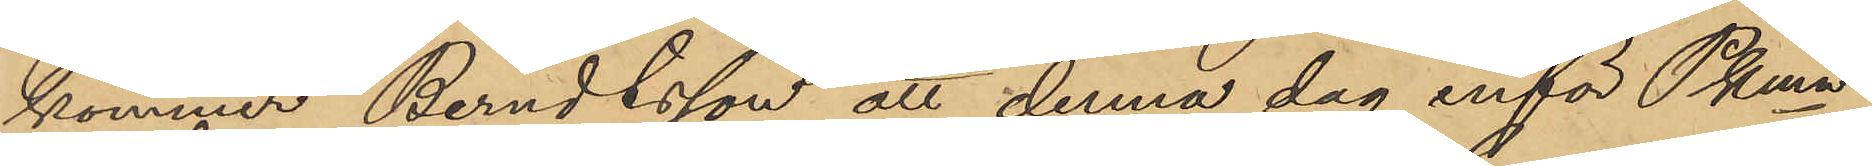kommer Berndtsson att denna dag inför PKmn
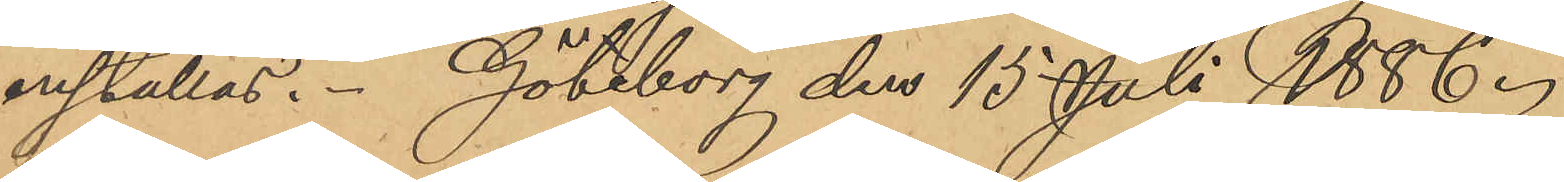inställas. Göteborg den 15 Juli 1886.
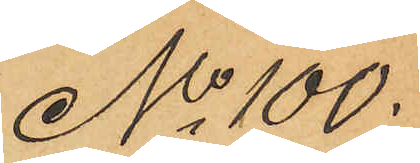No 100.
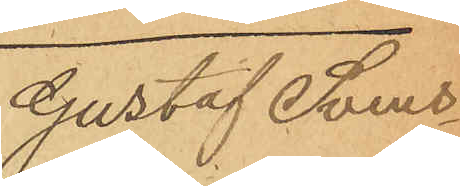Gustaf Svens¬
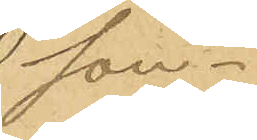son.
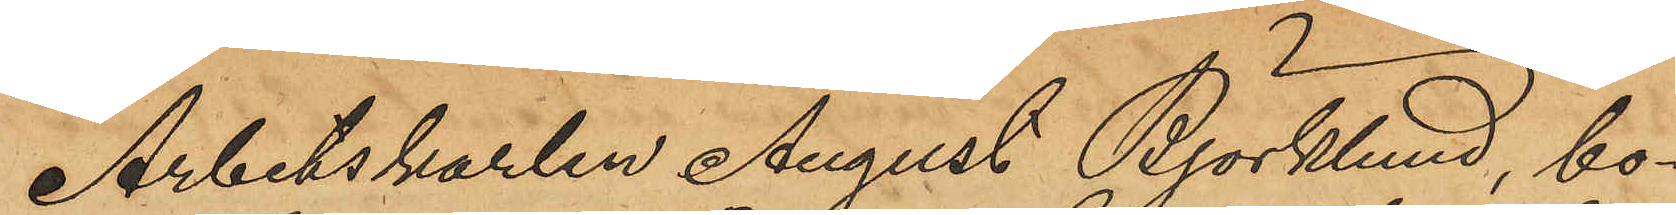Arbetskarlen August Björklund, bo¬
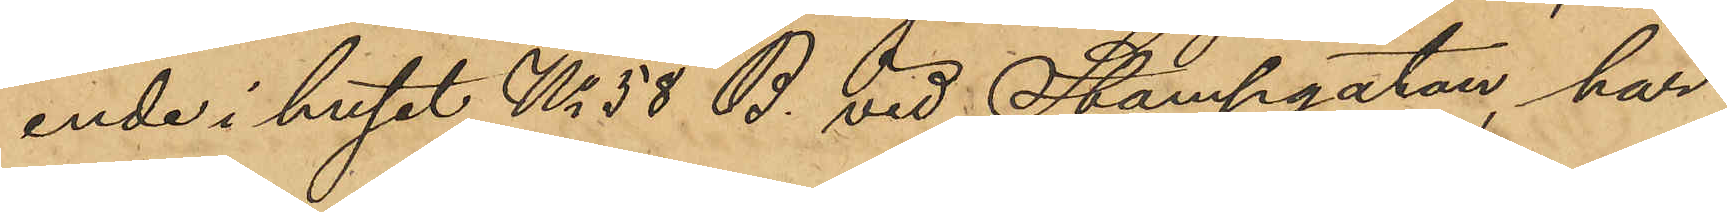ende i huset No 58 B. vid Stampgatan, har
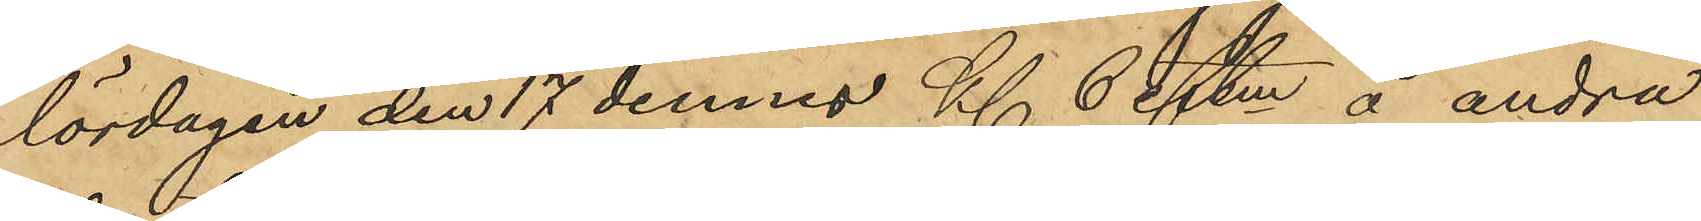lördagen den 17 dennes Kl 6 Eftm å andra
